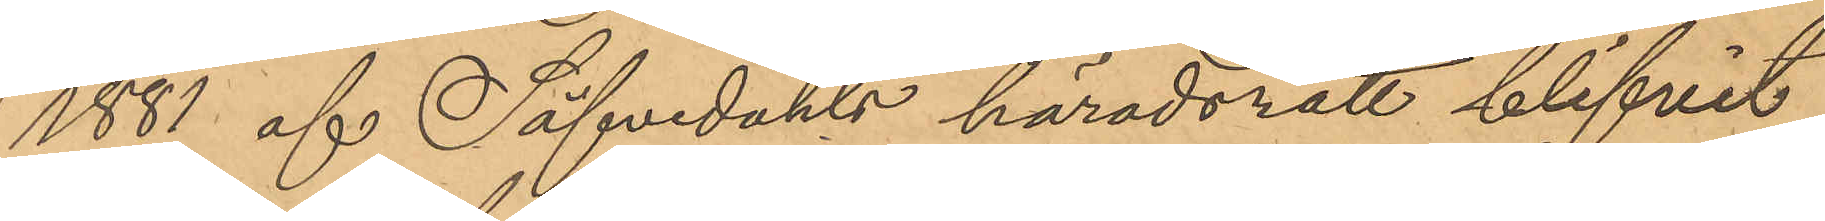1881 af Säfvedahls häradsrätt blifvit
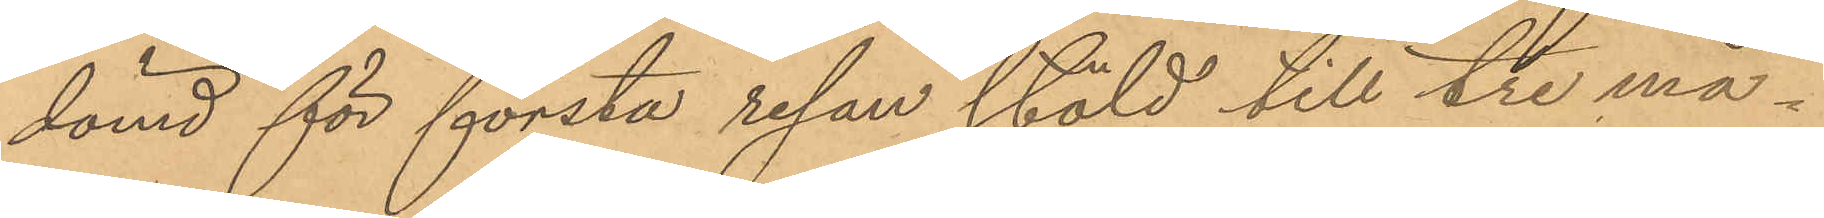dömd för första resan stöld till tre må¬
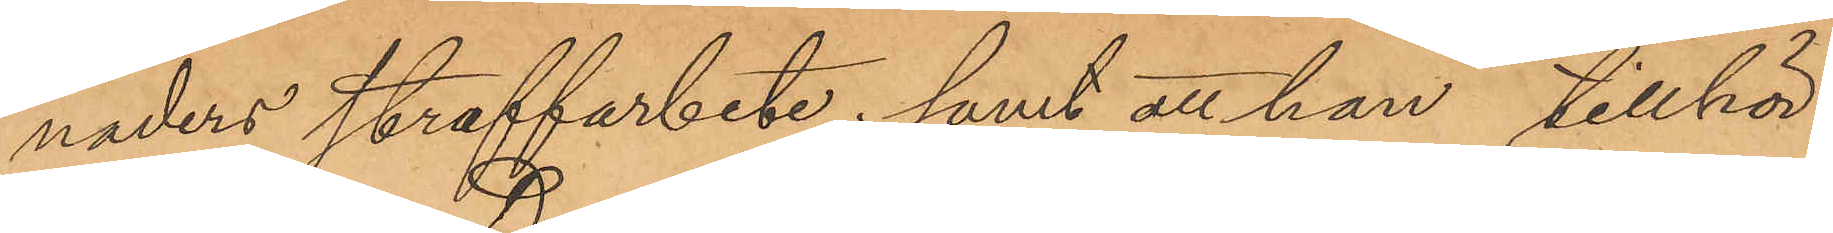naders straffarbete; samt att han tillhör
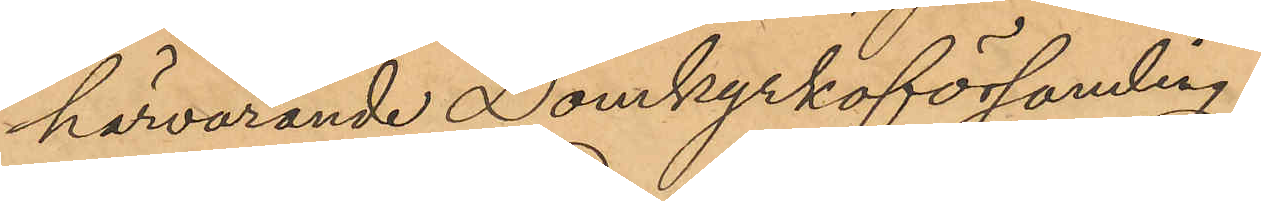härvarande Domkyrkoförsamling.
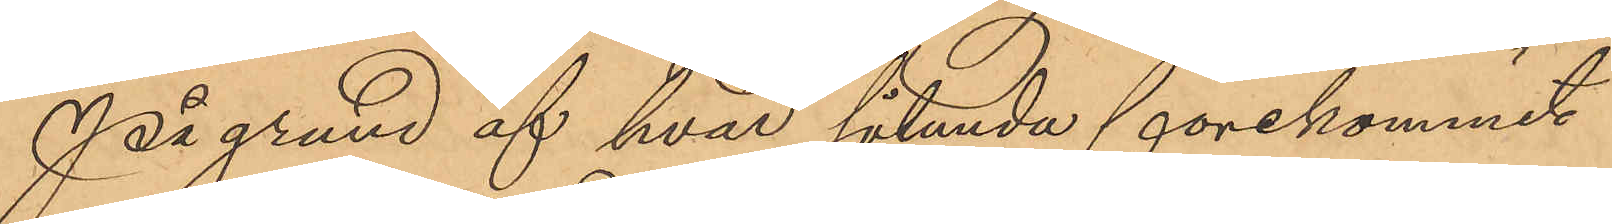På grund af hvad sålunda förekommit
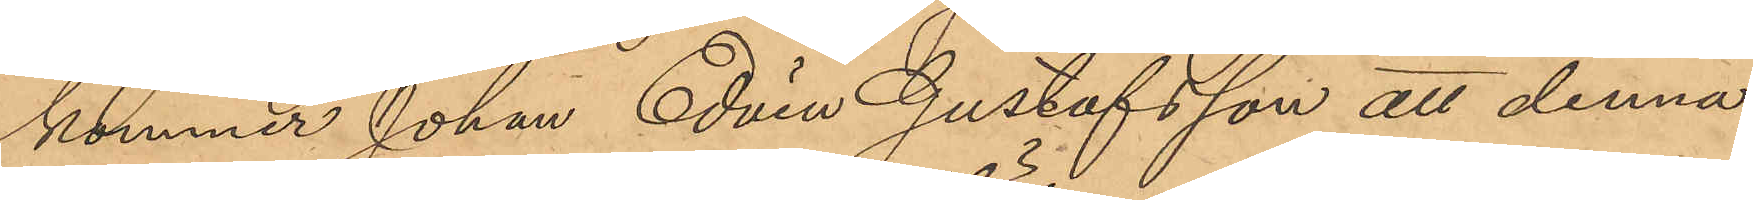kommer Johan Edvin Gustafsson att denna
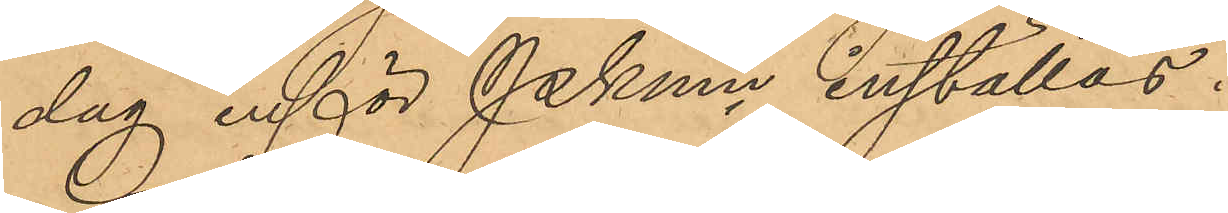dag inför Pkmn inställas.
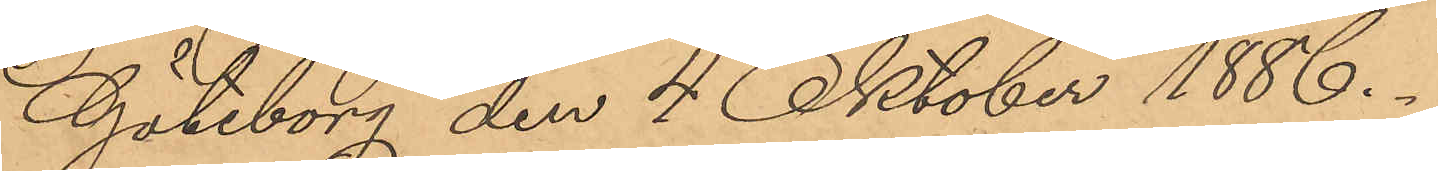Göteborg den 4 Oktober 1886.
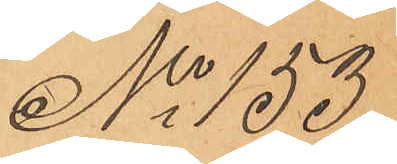No 153
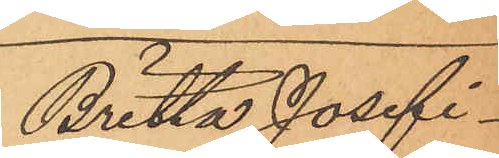Britta Josefi¬
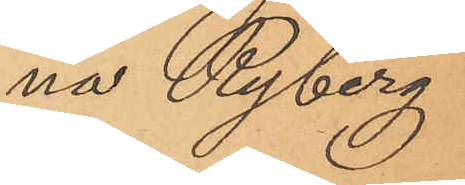na Ryberg
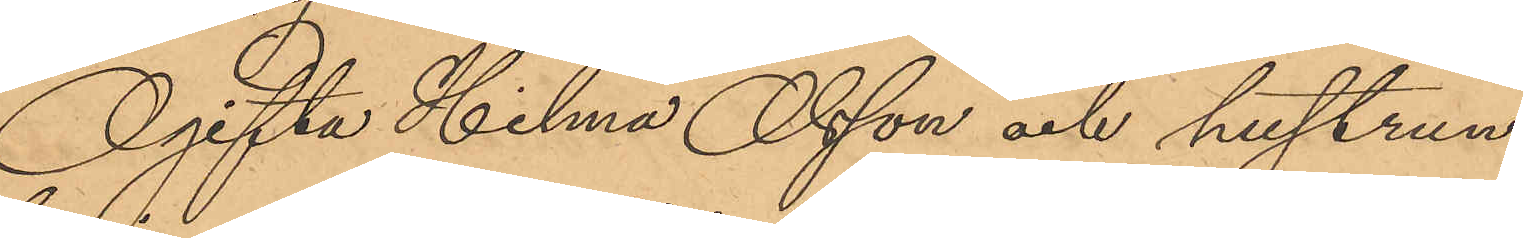Ogifta Hilma Olsson och hustrun
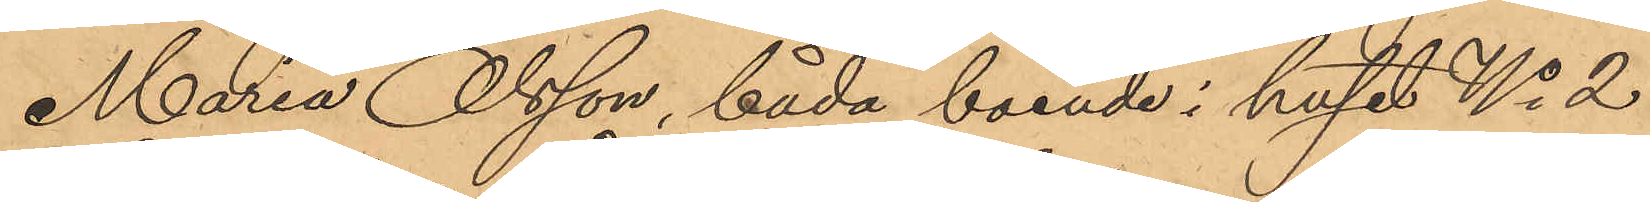Maria Olsson, båda boende i huset No 2
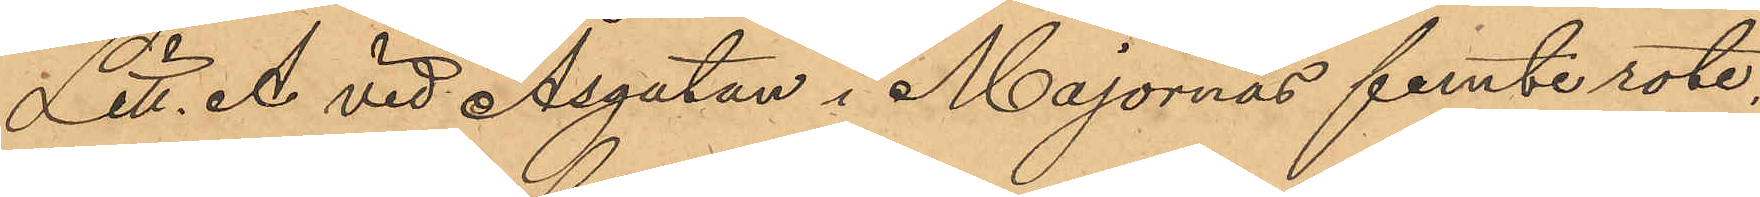Litt. A vid Åsgatan i Majornas femte rote,
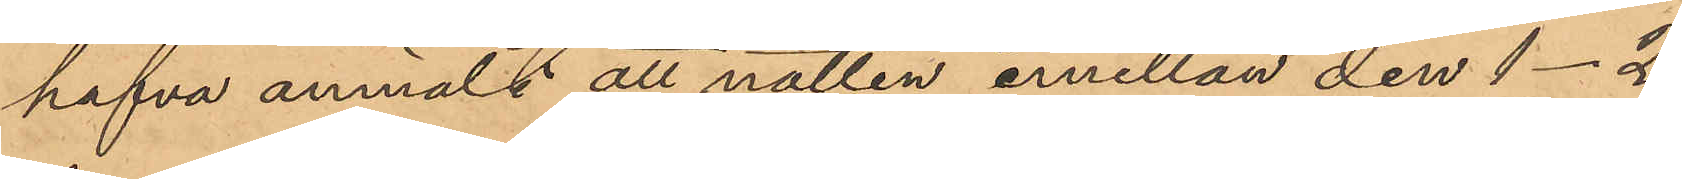hafva anmält att natten emellan den 1-2
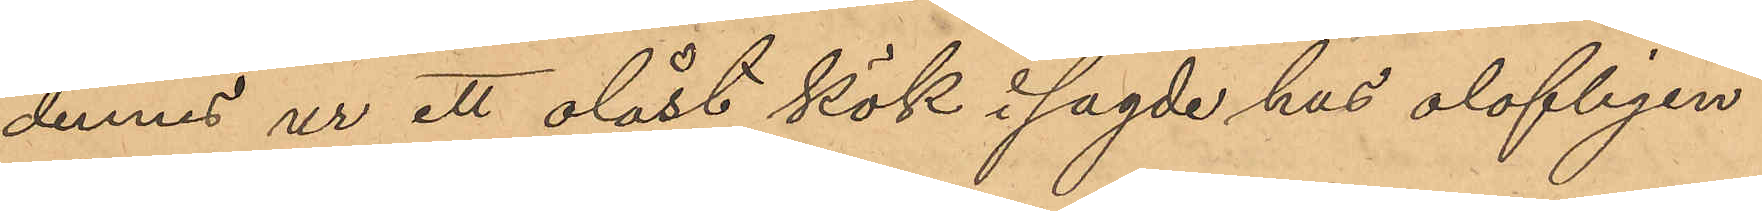dennes ur ett olåst kök i sagde hus olofligen
